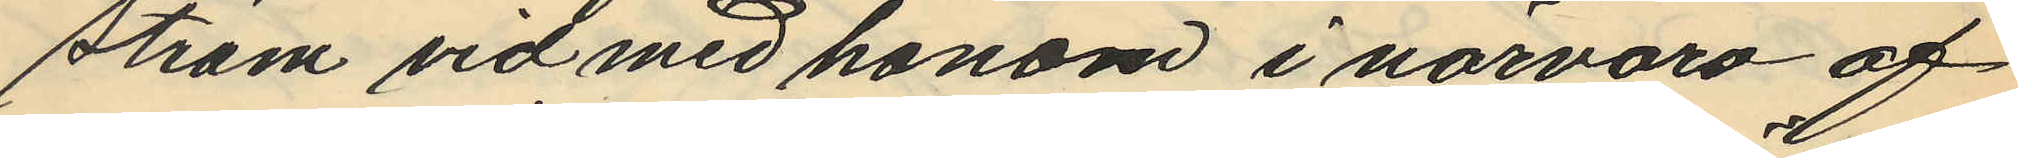ström vid med honom i närvaro af
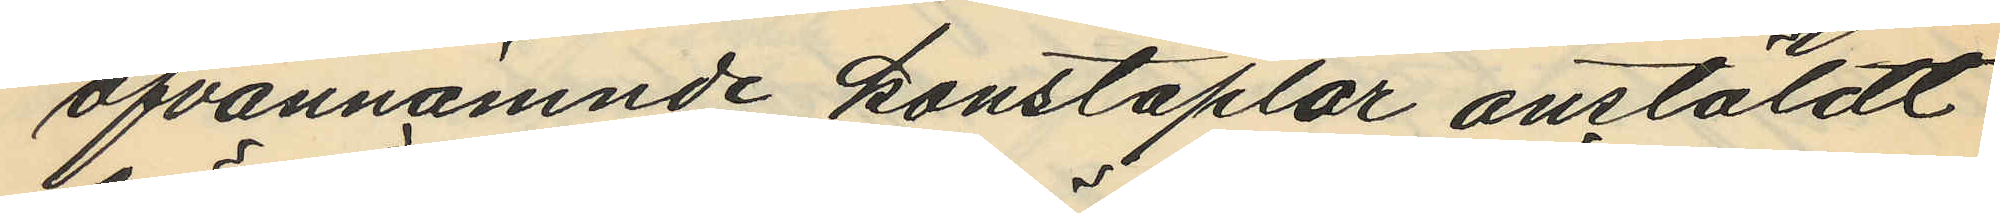ofvannämnde konstaplar anstäldt
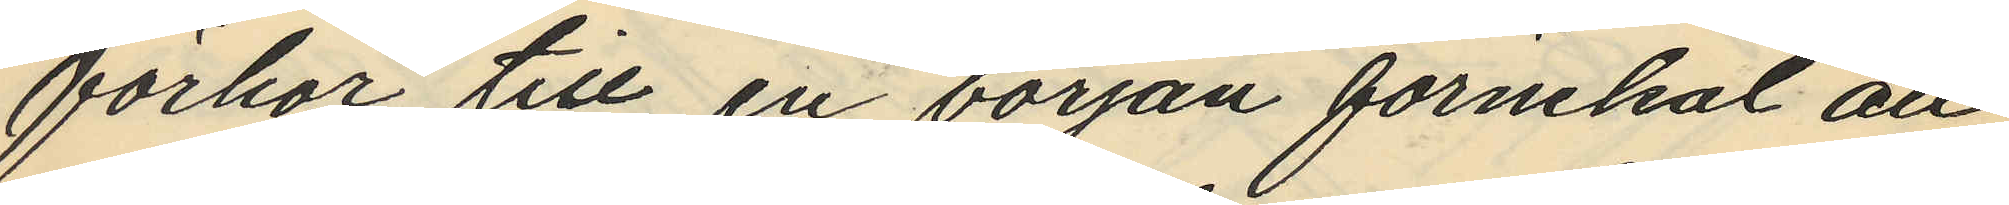förhör till en början förnekal all
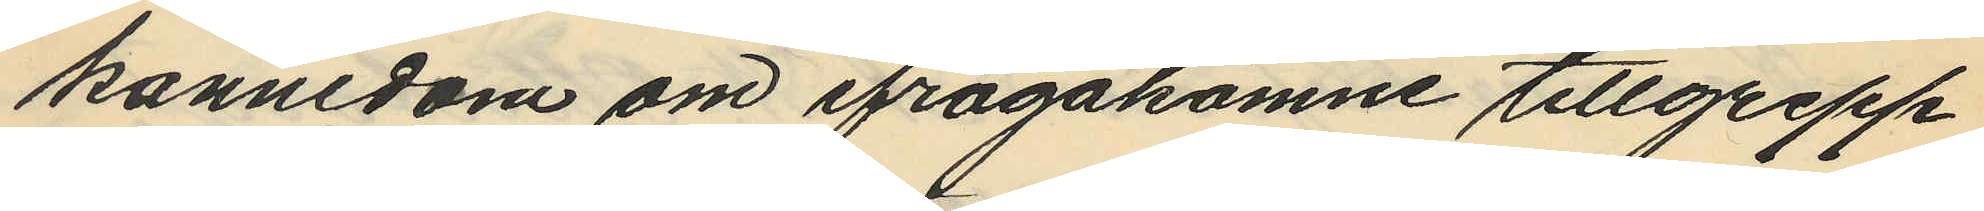kännedom om ifrågakomne tillgrepp
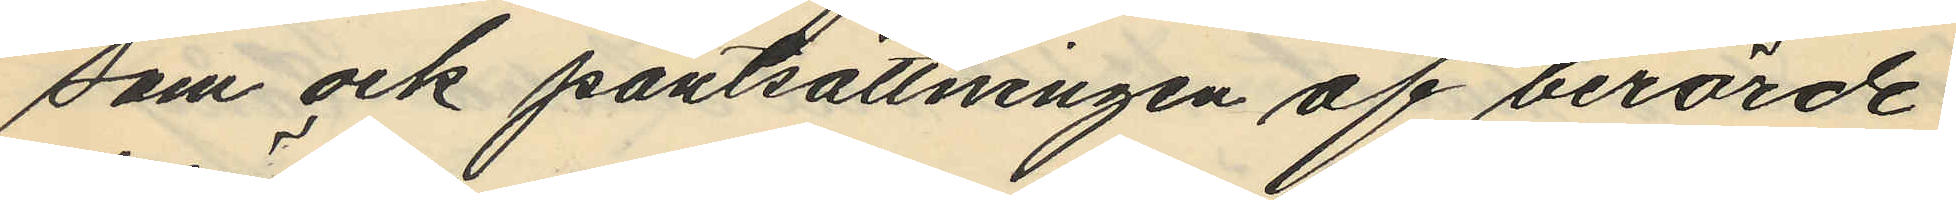som ock pantsättningen af berörde
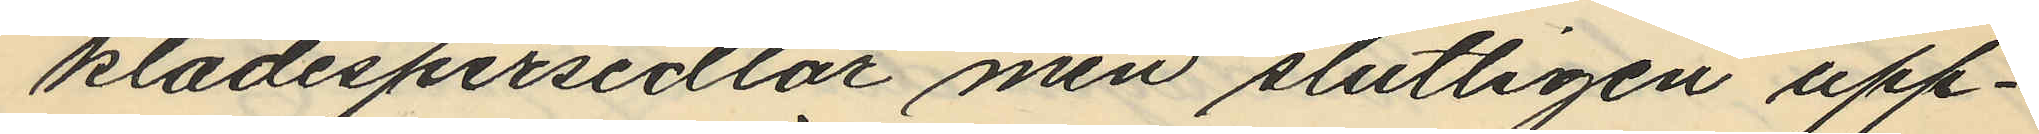klädespersedlar men slutligen upp¬
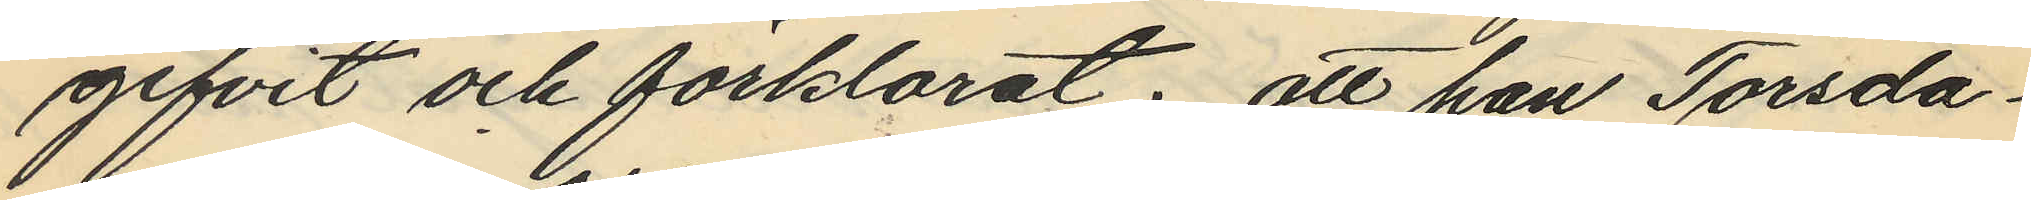gifvit och förklarat; att han Torsda¬
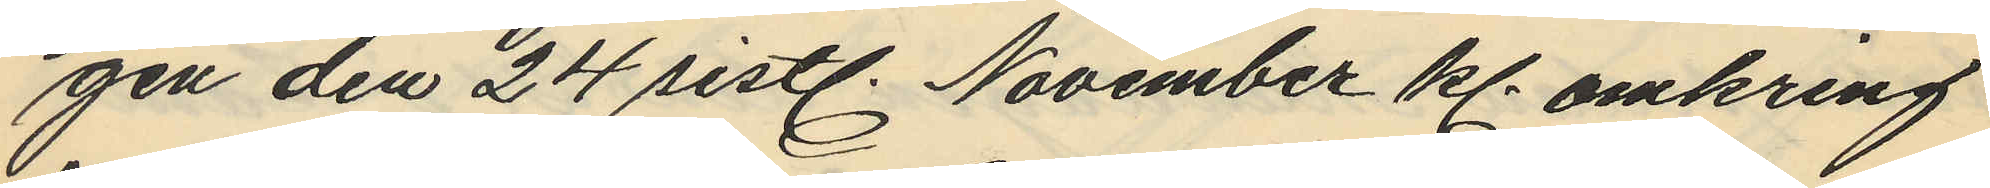gen den 24 sistl. November kl omkring
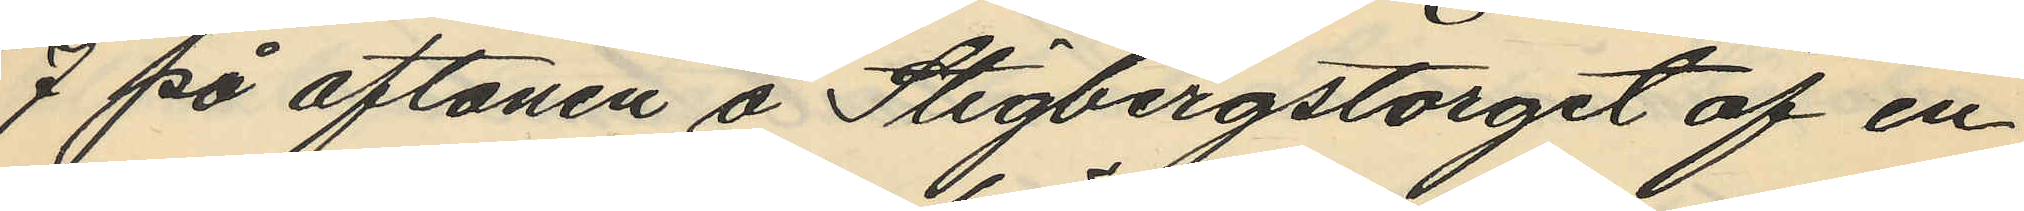7 på aftonen å Stigbergstorget af en
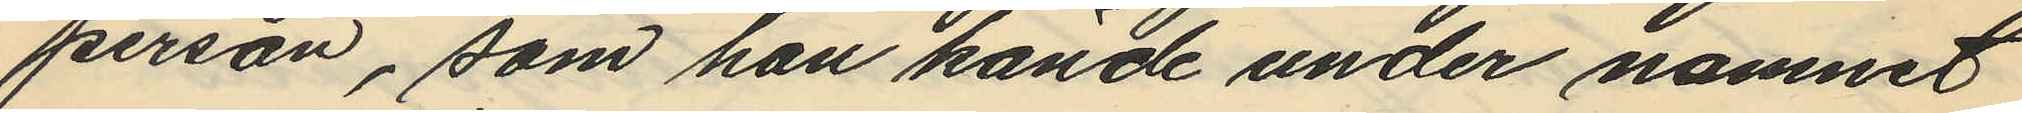person, som han kände under namnet
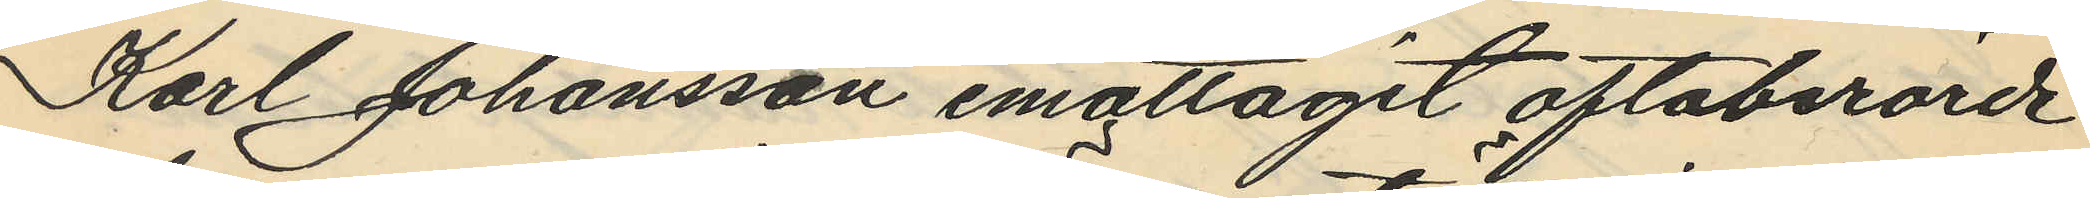Karl Johansson emottagit oftaberörde
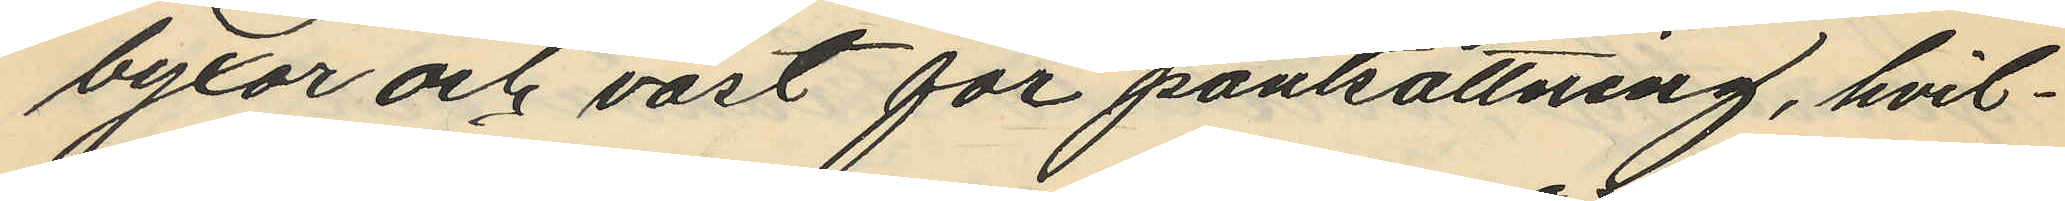byxor och väst för pantsättning, hvil¬
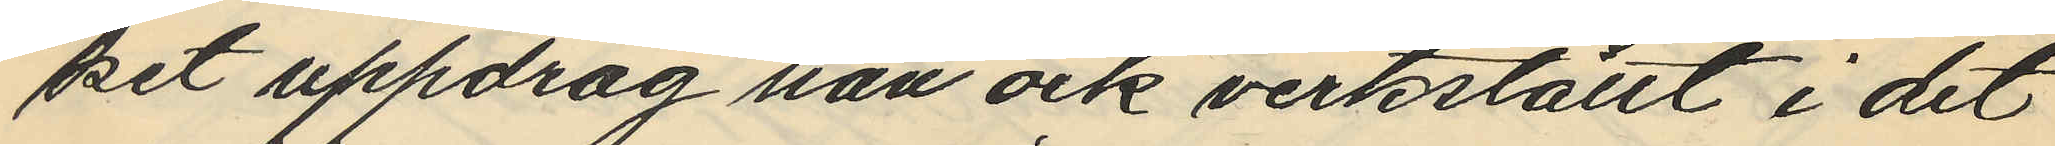ket uppdrag han ock verkställt i det
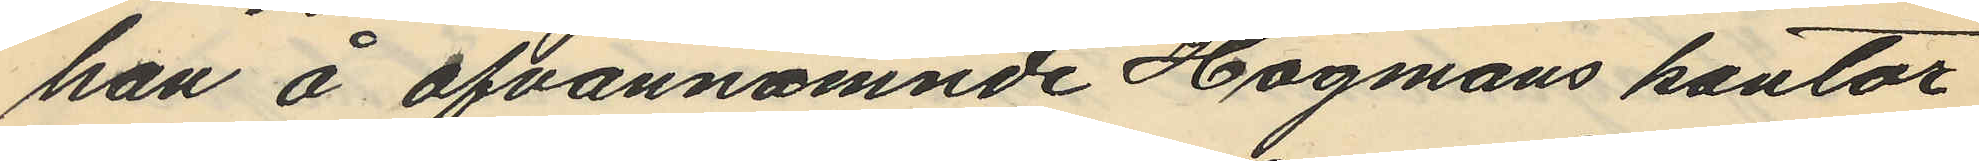han å ofvannämnde Hagmans kontor
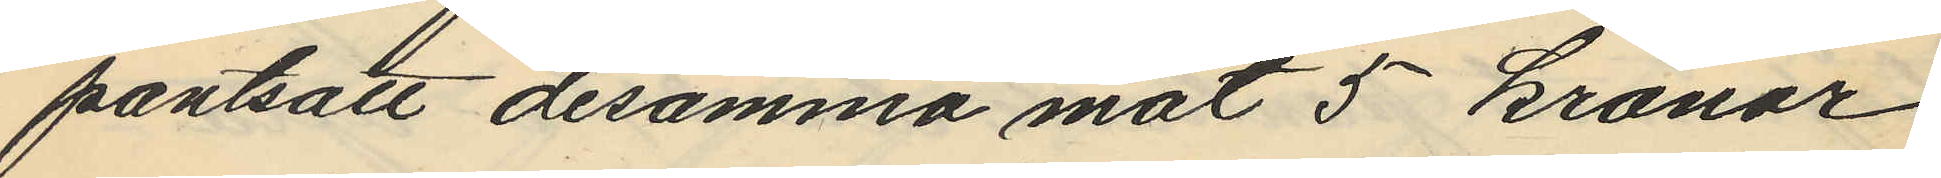pantsatt desamma mot 5 kronor
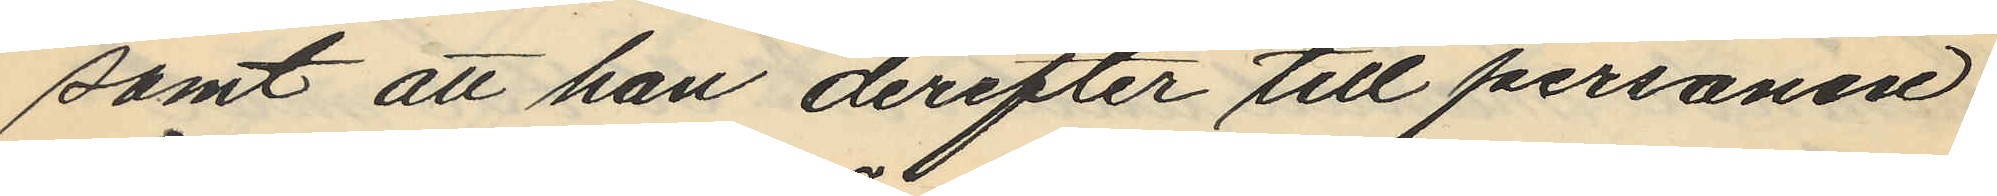samt att han derefter till personen
